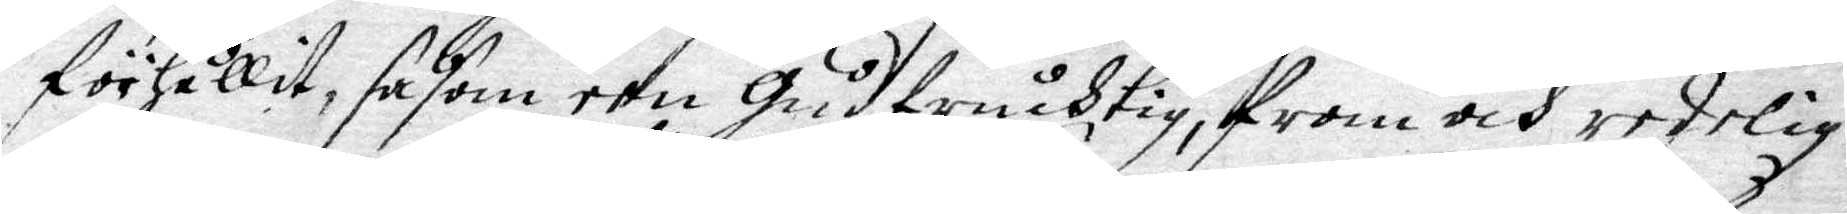förhållit, såsom een Gudfruchtig, from och erlig
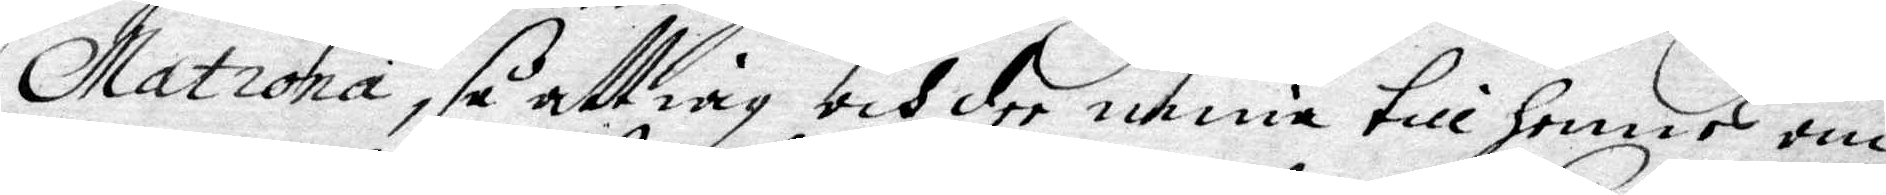Matrona, så att iag och dee mine till Hennes om¬
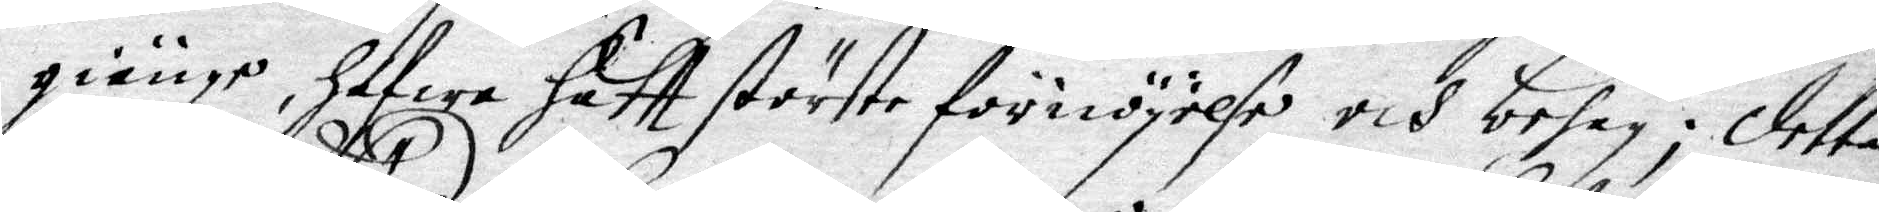giänge, Hafwe Haftt störste förnöyelse och behag; detta
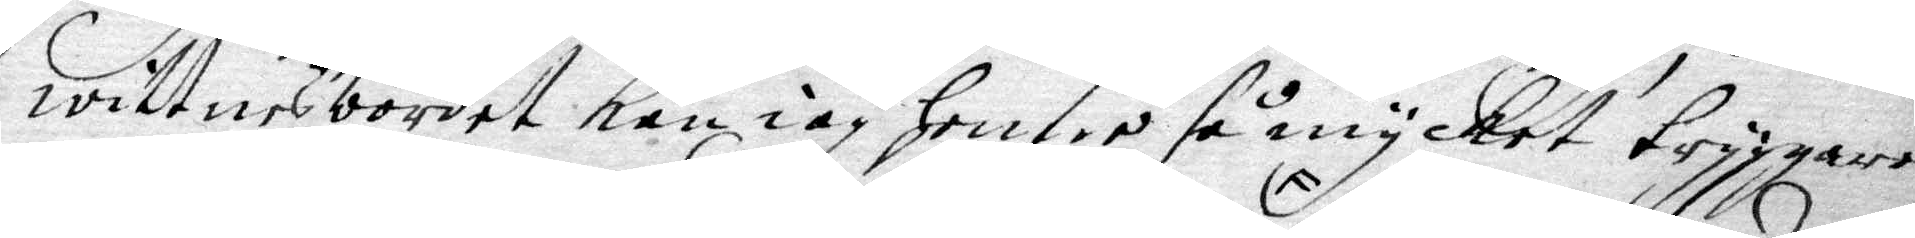wittnesbördet kan iag Henne så myckei tryggare
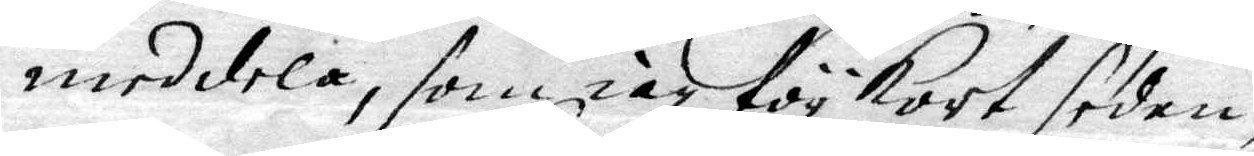meddela, som iag för Kort sedan 
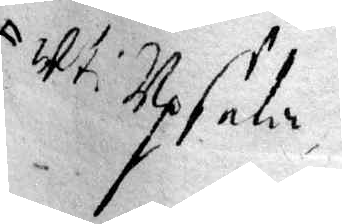uti Upsala
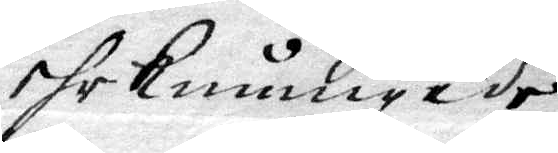ehr kunnige de
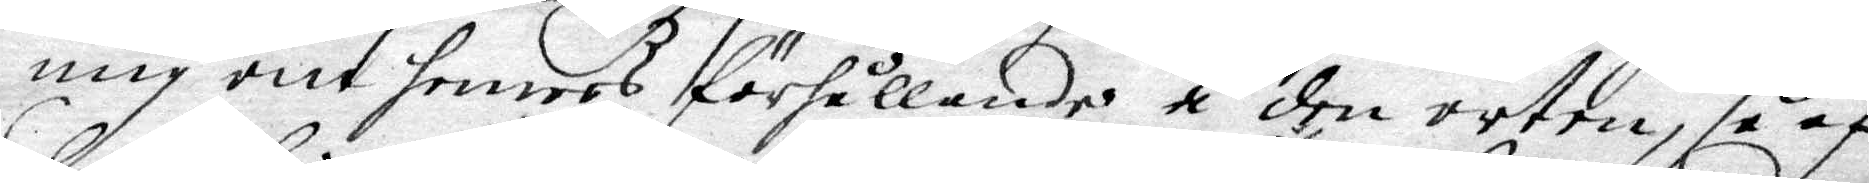mig om Hennes förhållande å den orten, så af
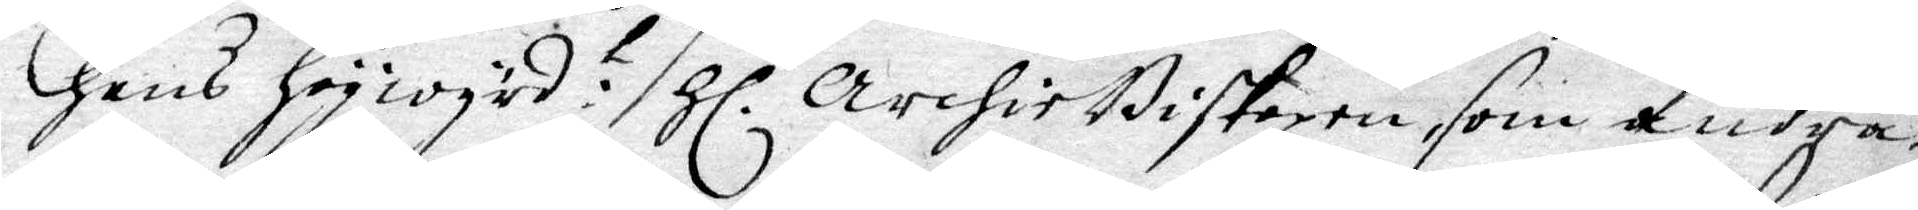Hans Högwyrd: Hl. ArchieBiskopen, som andra
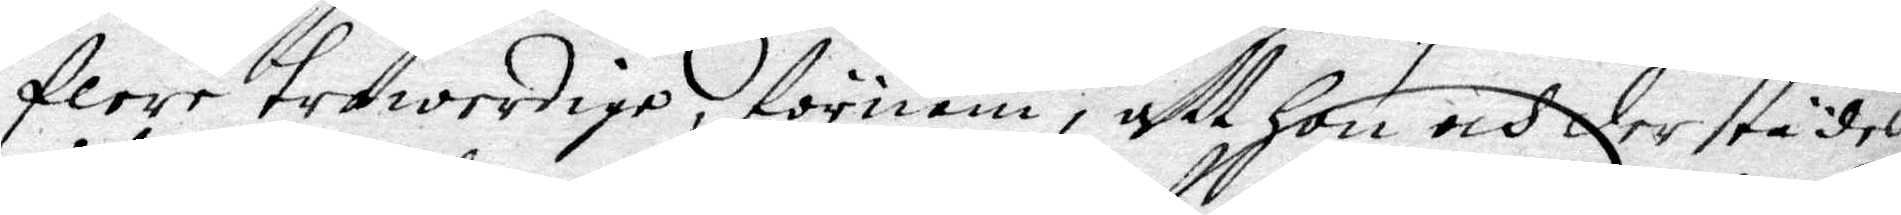flere trowerdige, förnam, att Hon och derstädes
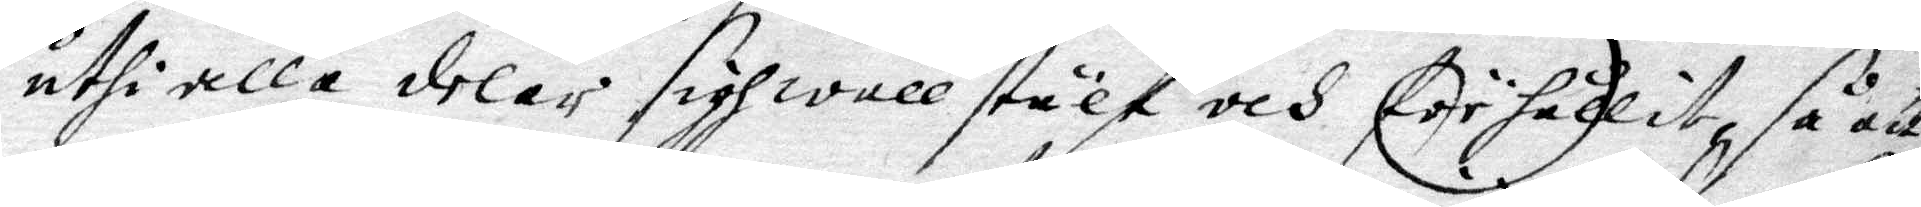uthi alla delar sigh wäll stält och förehållit, så att
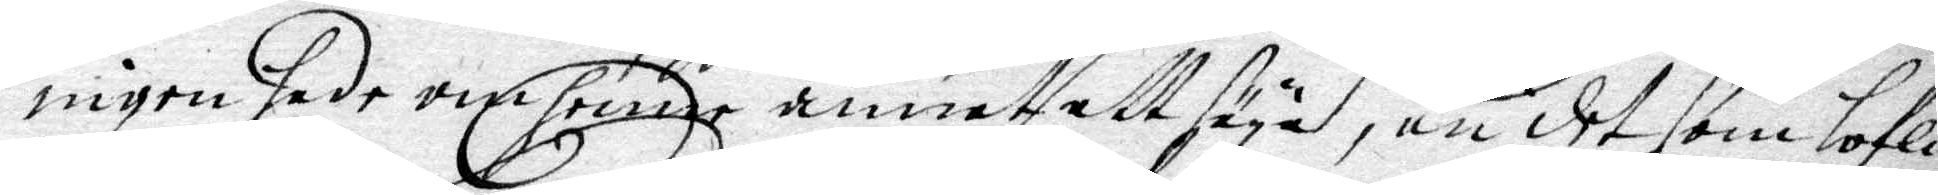ingen hade om Henne, annat att säya, än det som lofli¬
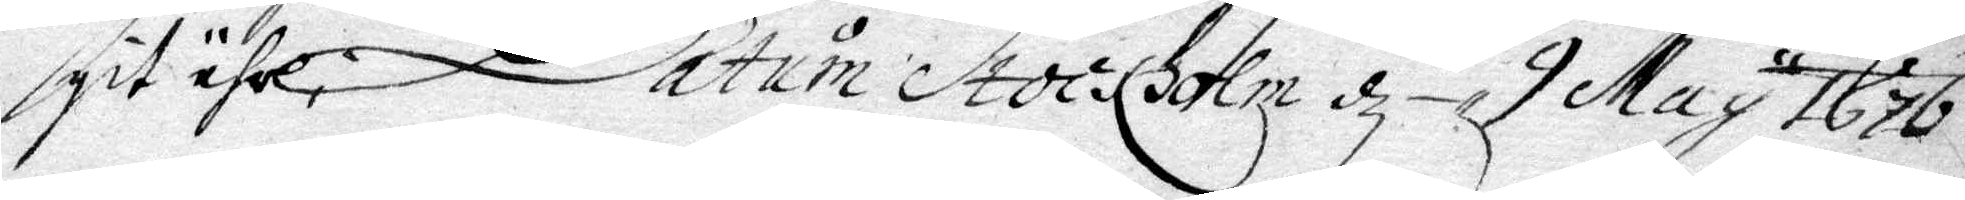git ähr. Datum Stockholm d. 9 May 1676.
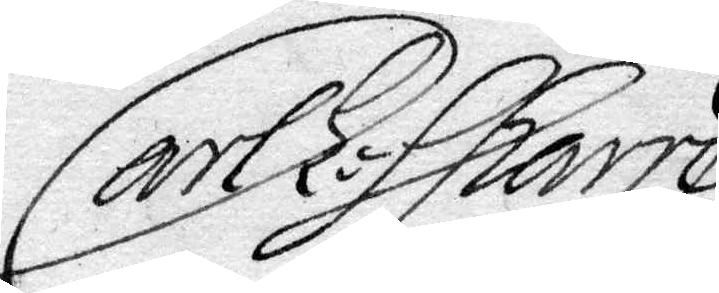Carl L: Sparre
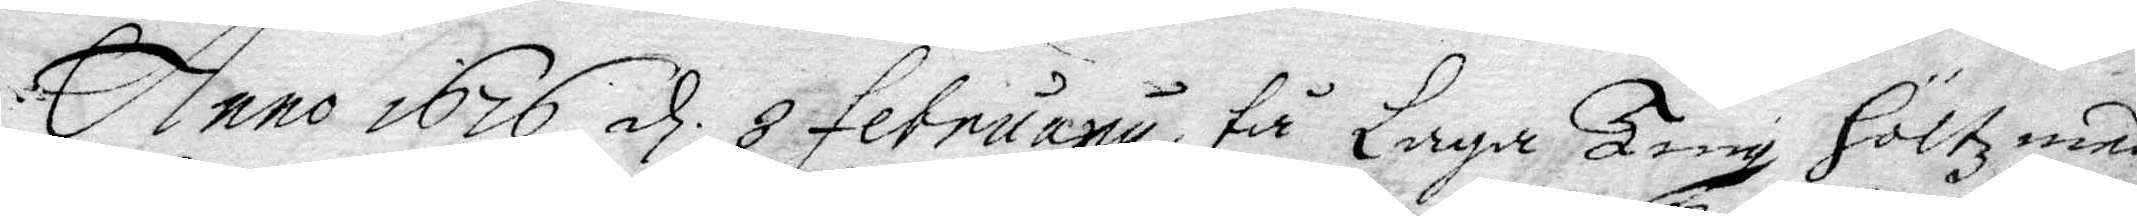Anno 1767 d 8 februari tå Laga Ting Höltz med 
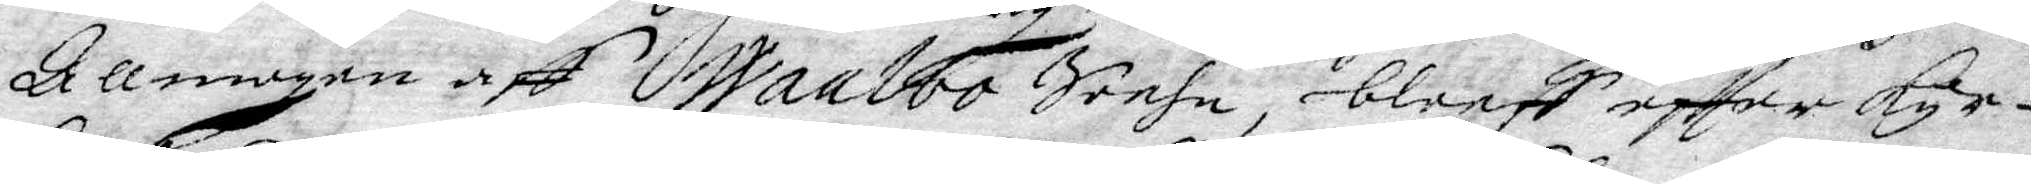Allmogen aff Wanboo Sochn, bleeff eftter kyr¬
